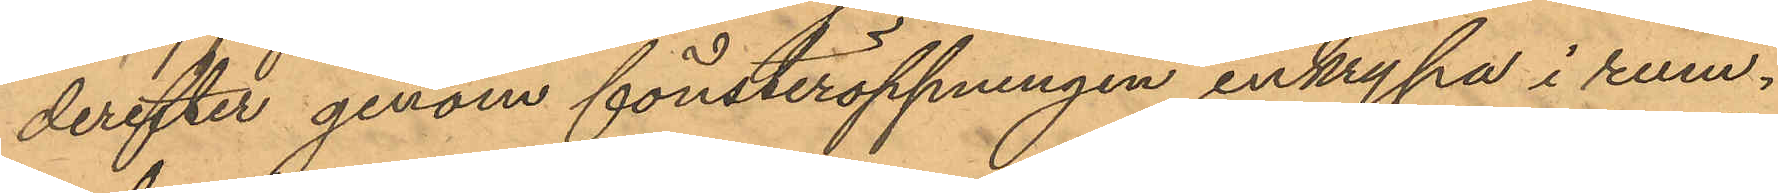derefter genom fönsteröppningen inkrypa i rum¬
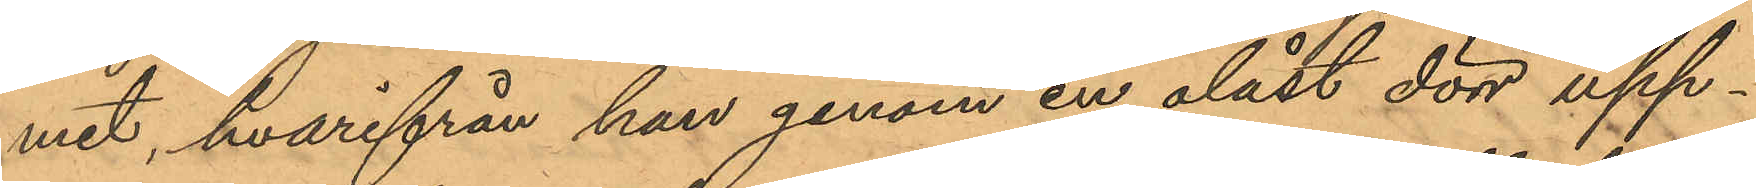met, hvarifrån han genom en olåst dörr upp¬
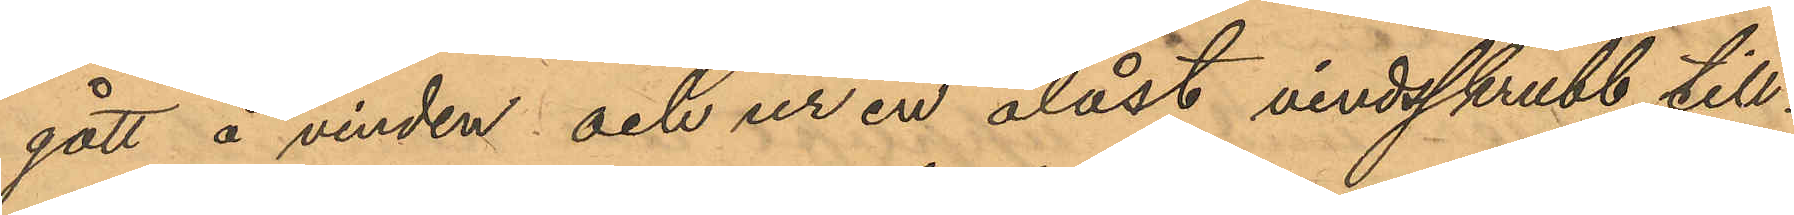gått å vinden och ur en olåst vindsskrubb till¬
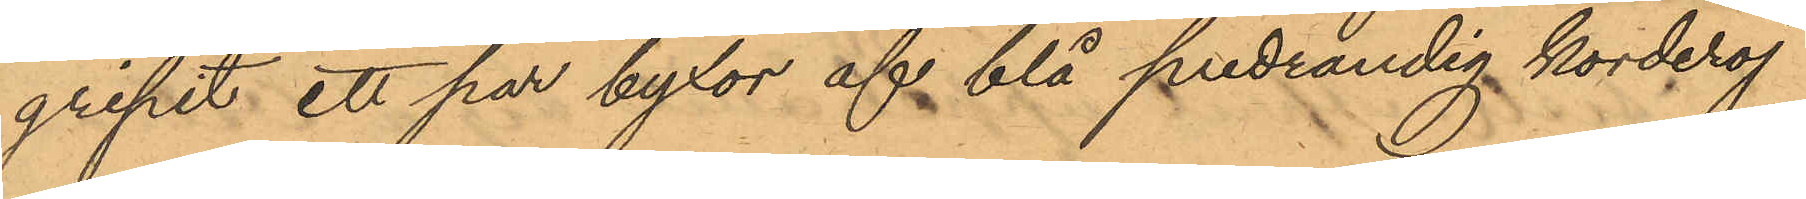gripit ett par byxor af blå bredrandig korderoj
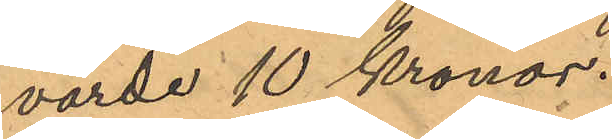värde 10 Kronor.
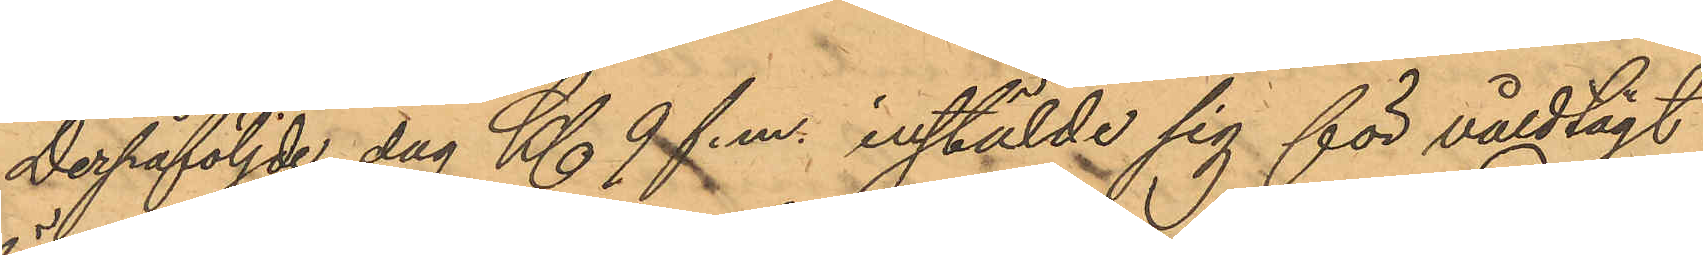Derpåföljde dag Kl. 9 f.m. inställde sig för våldtägt
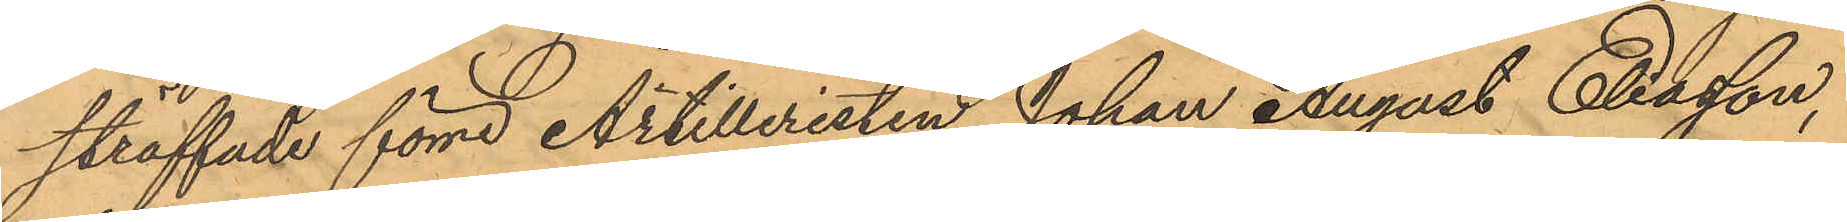straffade förre Artilleristen Johan August Eliasson,
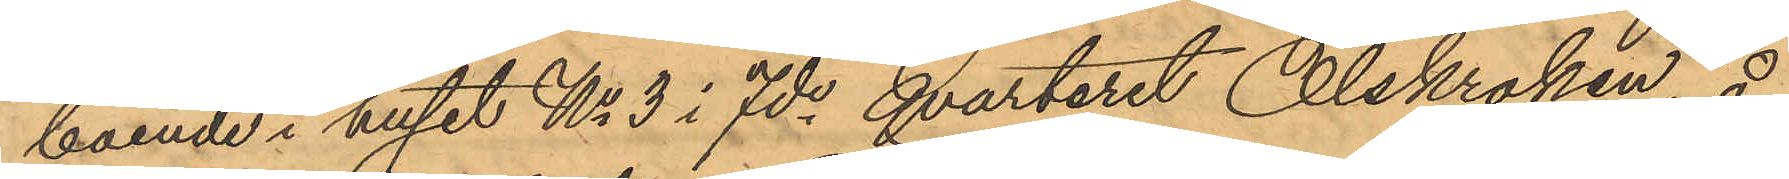boende i huset No 3 i 7de qvarteret Olskroken, å
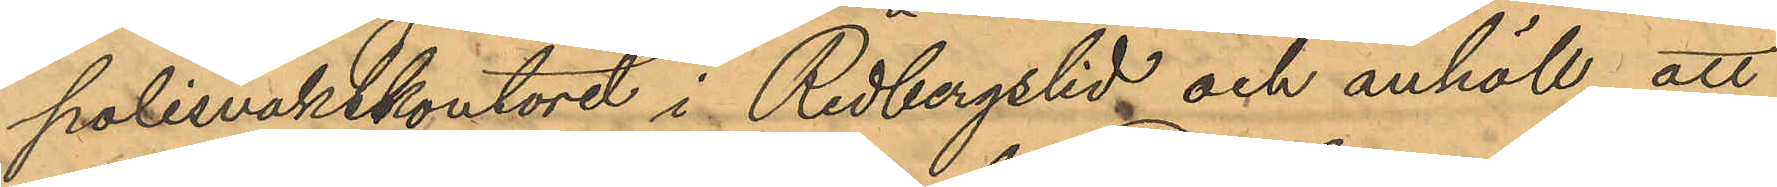polisvaktkontoret i Redbergslid och anhöll, att
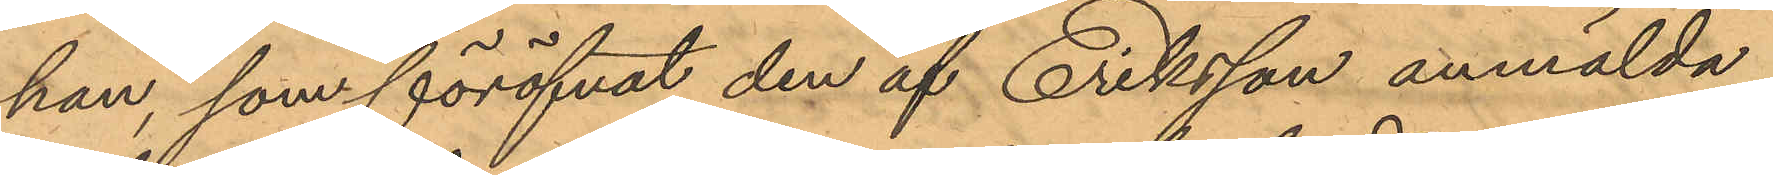han, som föröfvat den af Eriksson anmälda
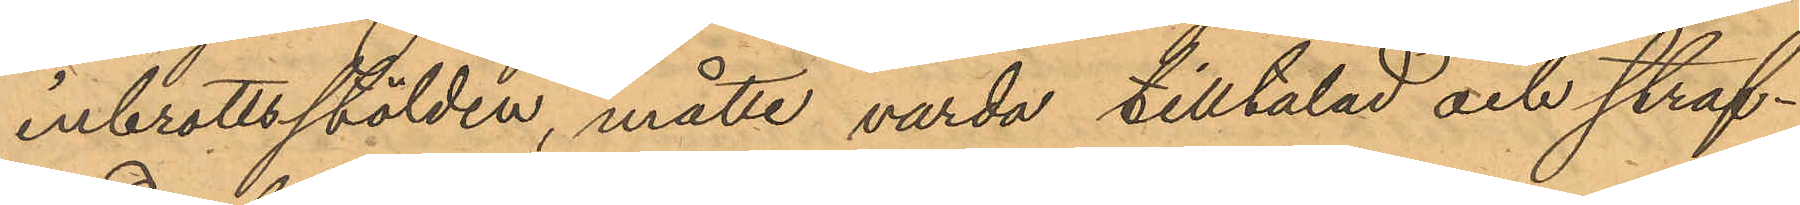inbrottsstölden, måtte varda tilltalad och straf¬
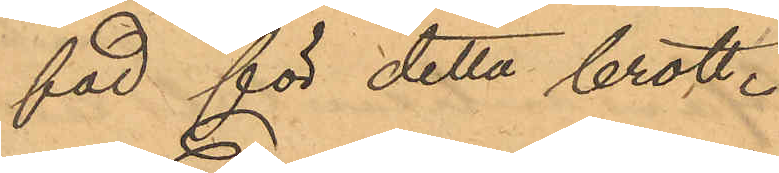fad för detta brott.
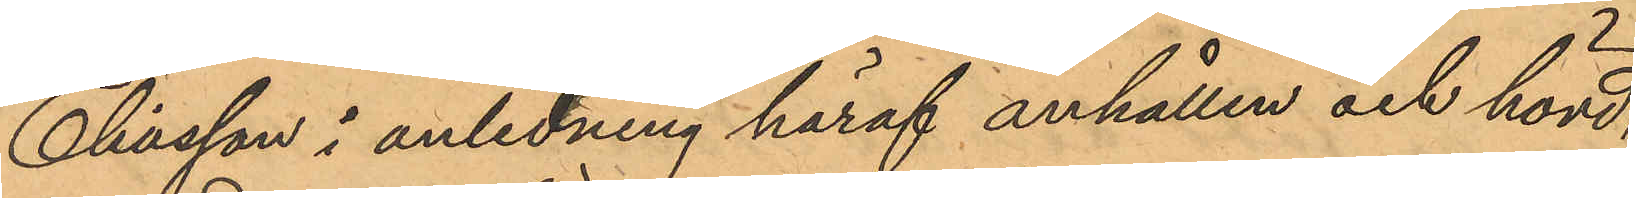Eliasson i anledning häraf anhållen och hörd,
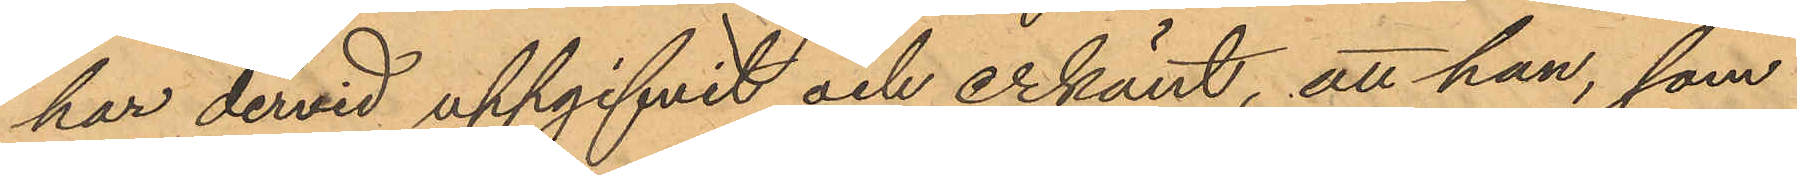har dervid uppgifvit och erkänt, att han, som
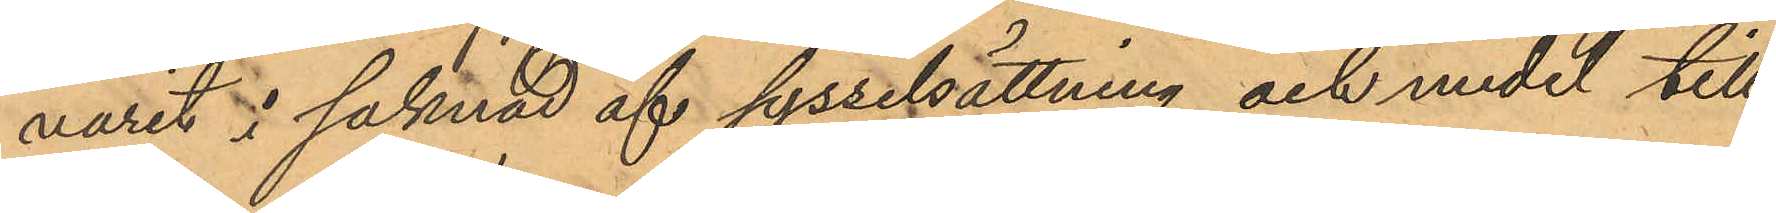varit i saknad af sysselsättning och medel till
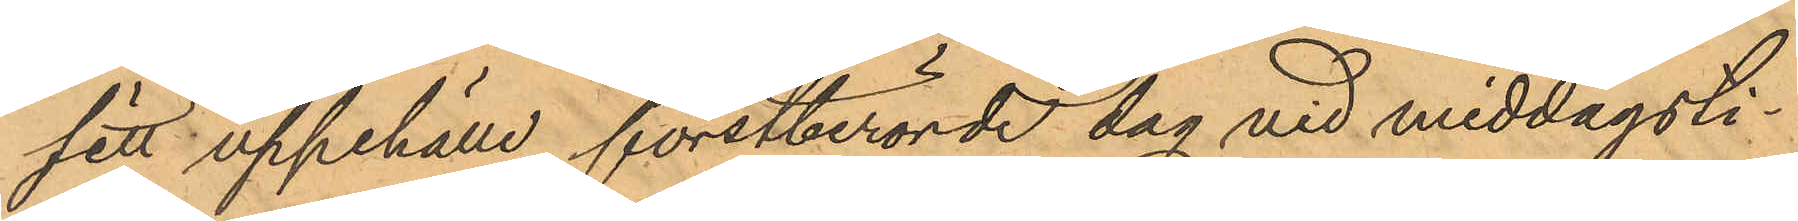sitt uppehälle förstberörde dag vid middagsti¬
